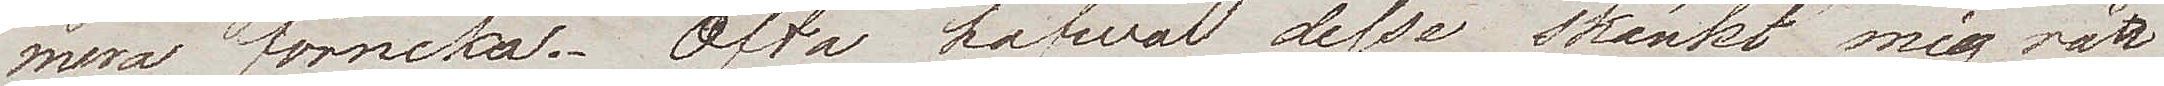mera förneka. Ofta hafwa desse skänkt mig rätt
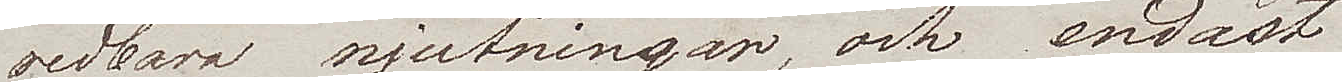redbara njutningar, och endast 
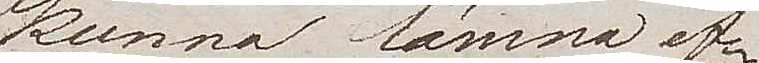kunna lämna ef¬
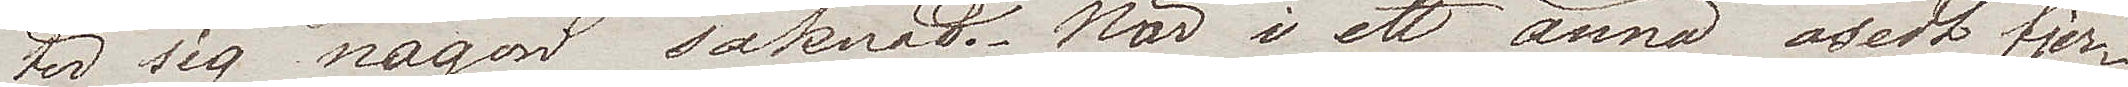ter sig nån saknad. När i ett ännu osedt fjer¬
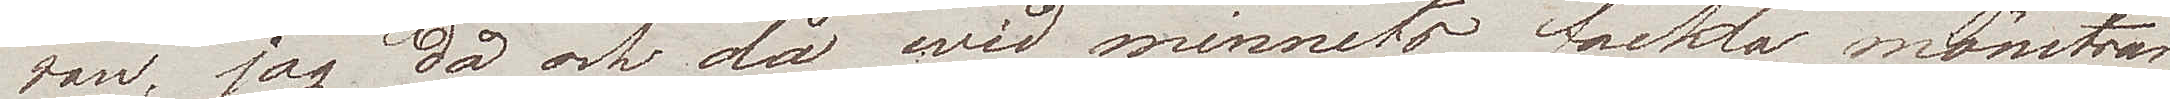ran, jag då och då wid minnets fackla mönstrar
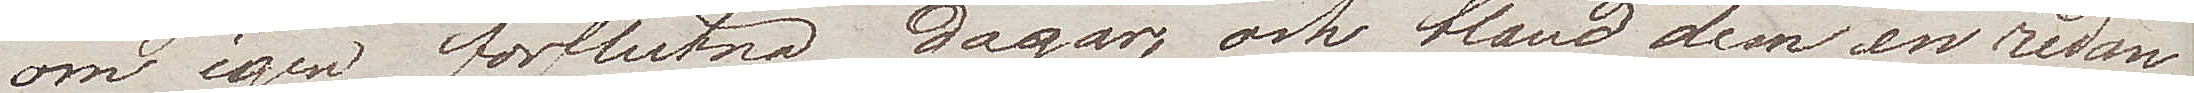om igen förflutna dagar, och bland dem en redan
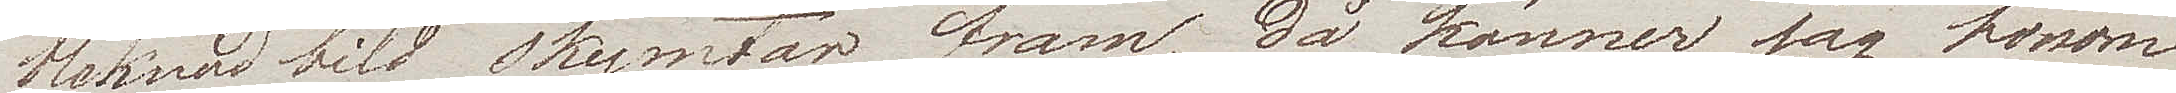bleknad bild skymtar fram, då känner jag honom 
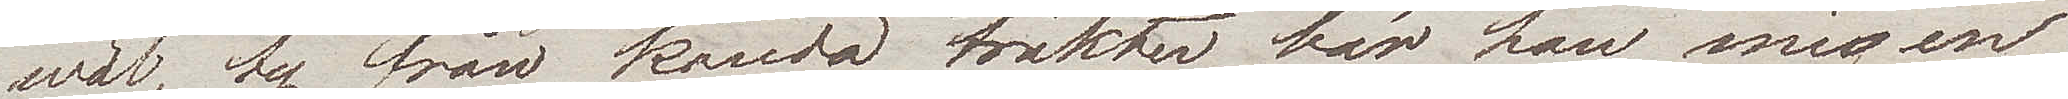wäl, ty från kända trakter, bär han mig en
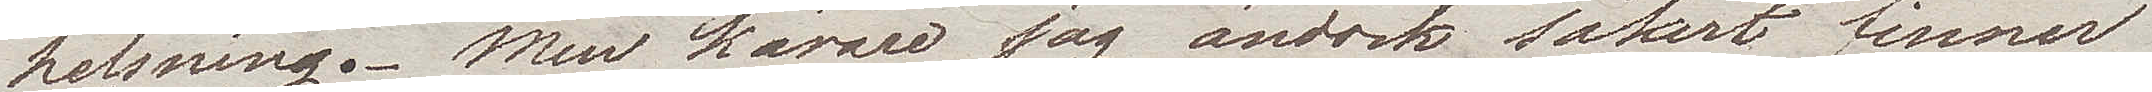helsning. Men kärare jag ändock säkert finner
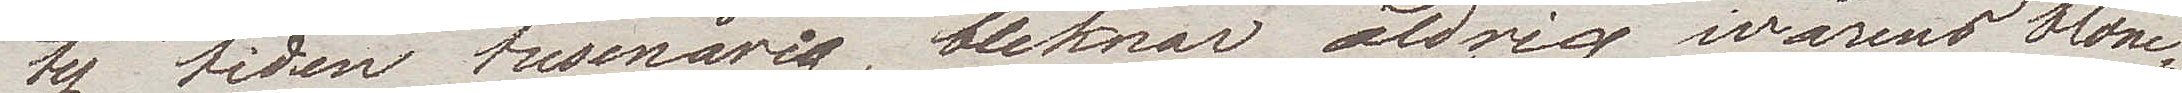ty tiden tusenårig, bleknar  aldrig wårens blom¬
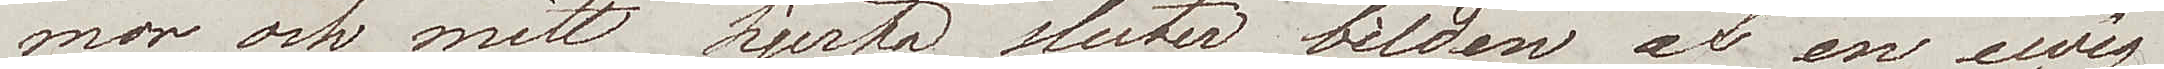mor, och mitt hjerta sluter bilden af en ewig
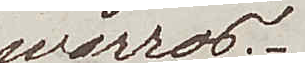wårros.
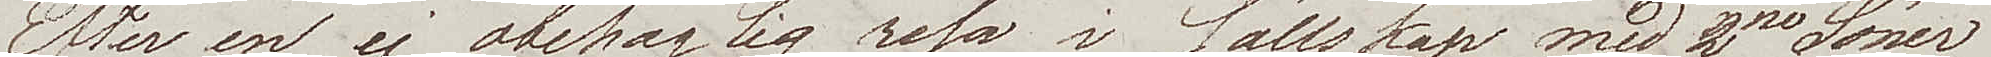Efter en ej obehaglig resa i sällskap med 2ne Söner
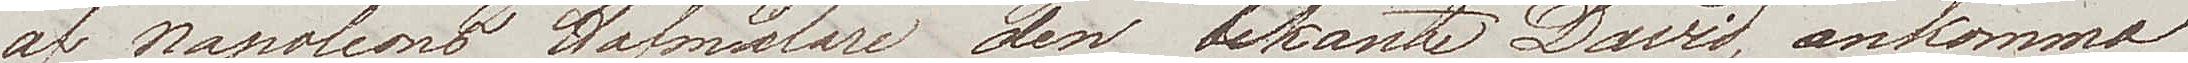till Napoleons Hofmålare den bekante David, ankommo
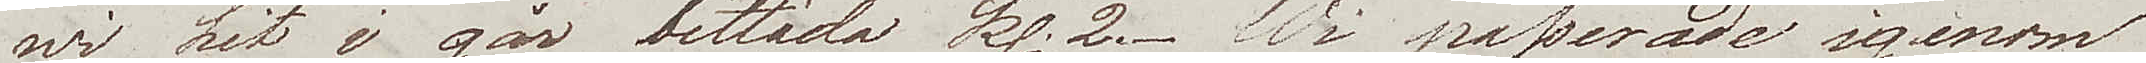wi hit i går bittida kl. 2. Wi passerade igenom
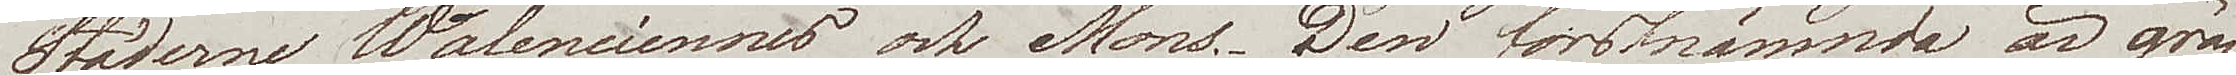Städerna Walenciennes och Mons; den förstnämnde är grän¬
